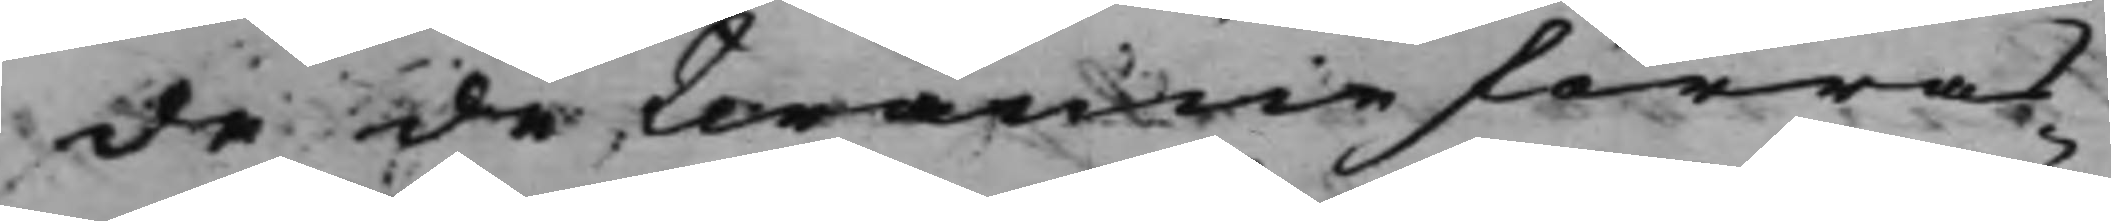de de twänne förras
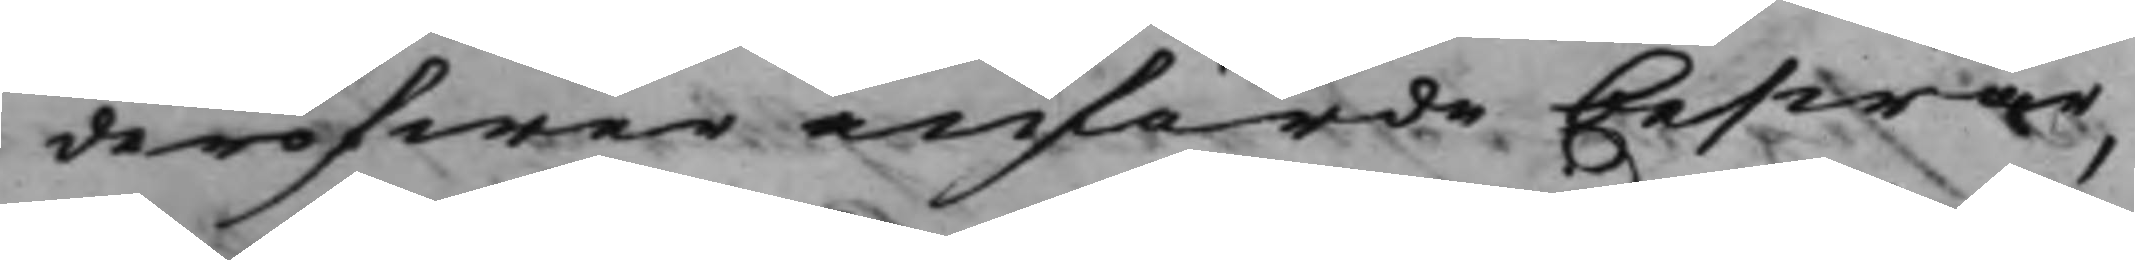deröfwer anförde beswär,
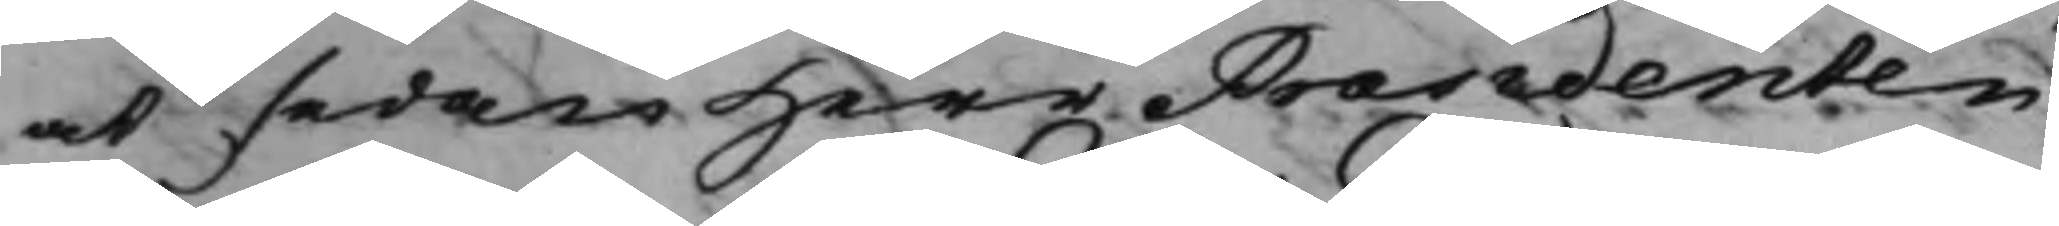at sedan Herr Præsidenten
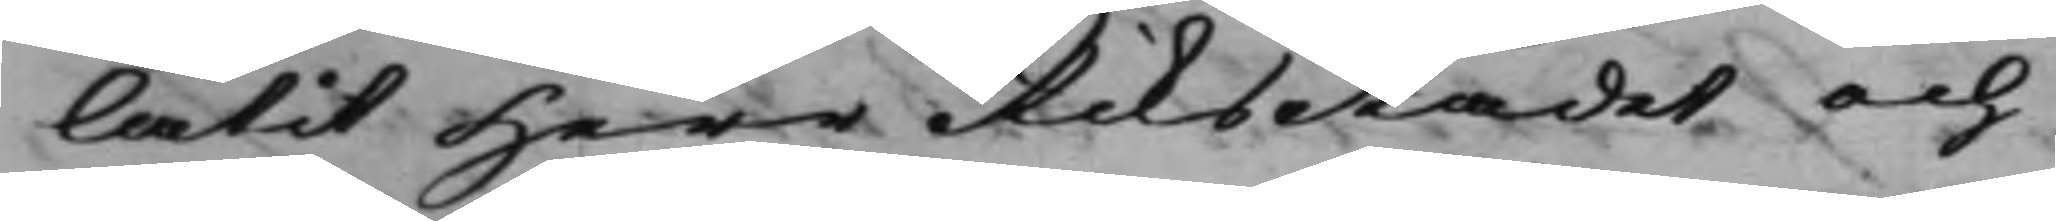låtit Herr RiksRådet och
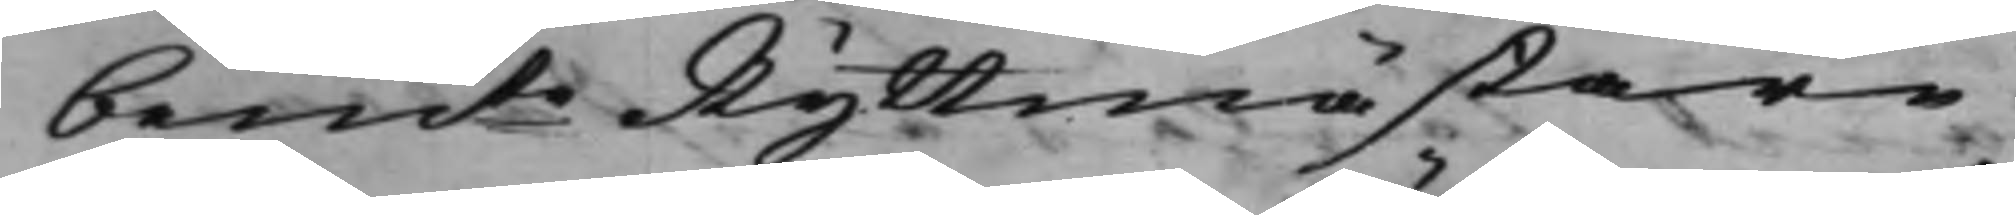bemte Ryttmästare,
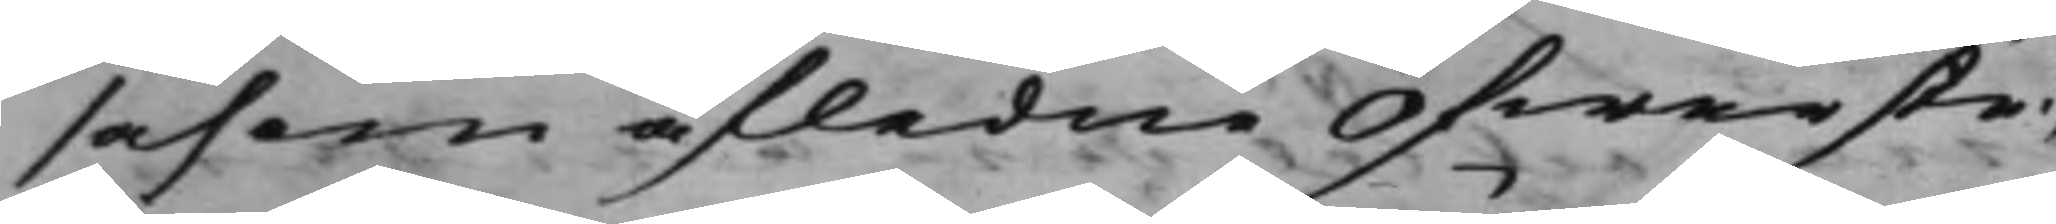såsom afledne Öfwerste¬
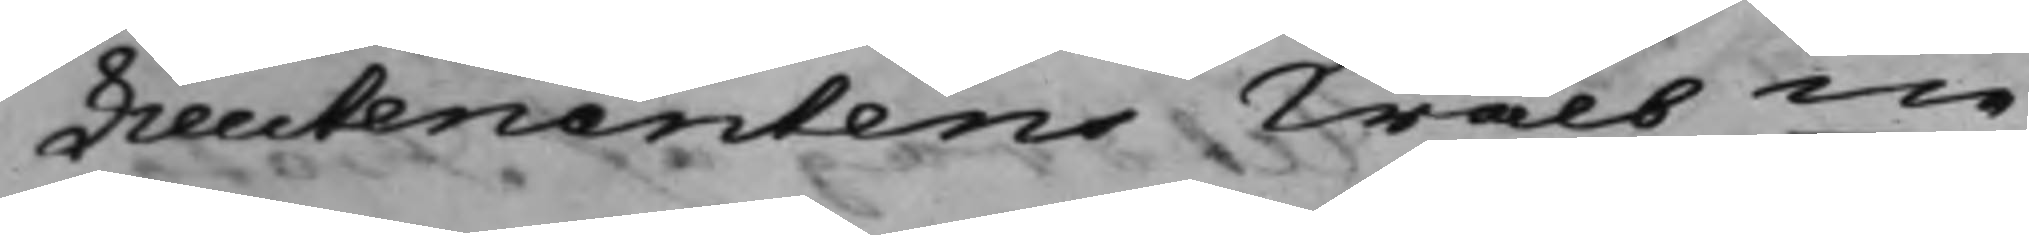Lieutenantens Wälbne
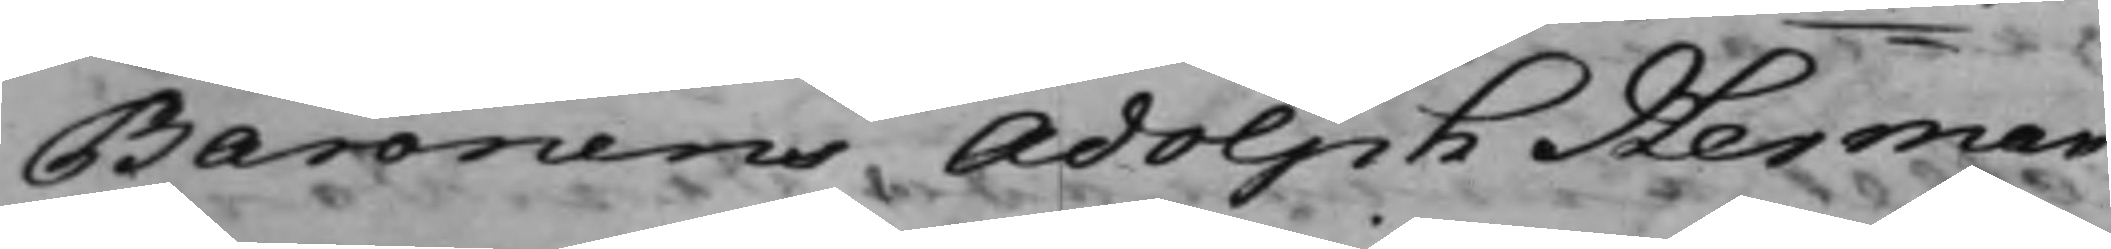Baronens Adolph Herman
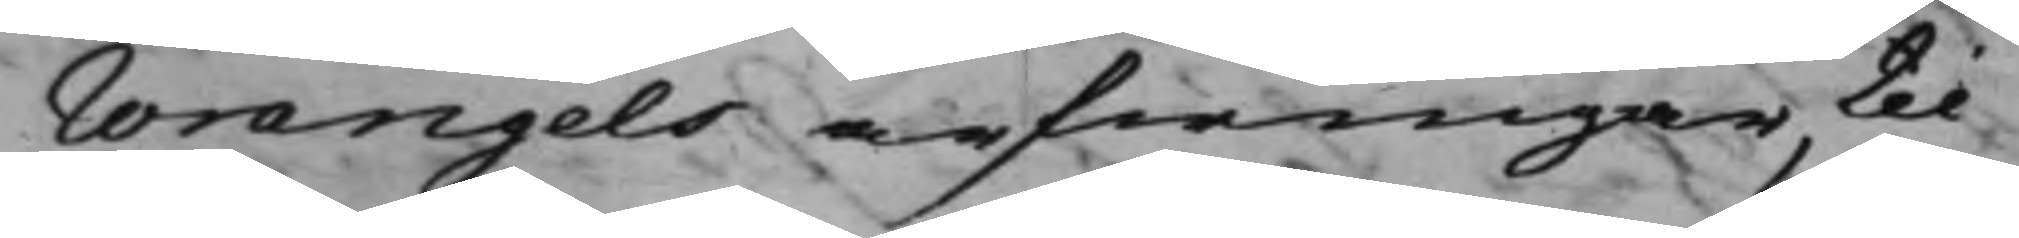Wrangels arfwingar, til
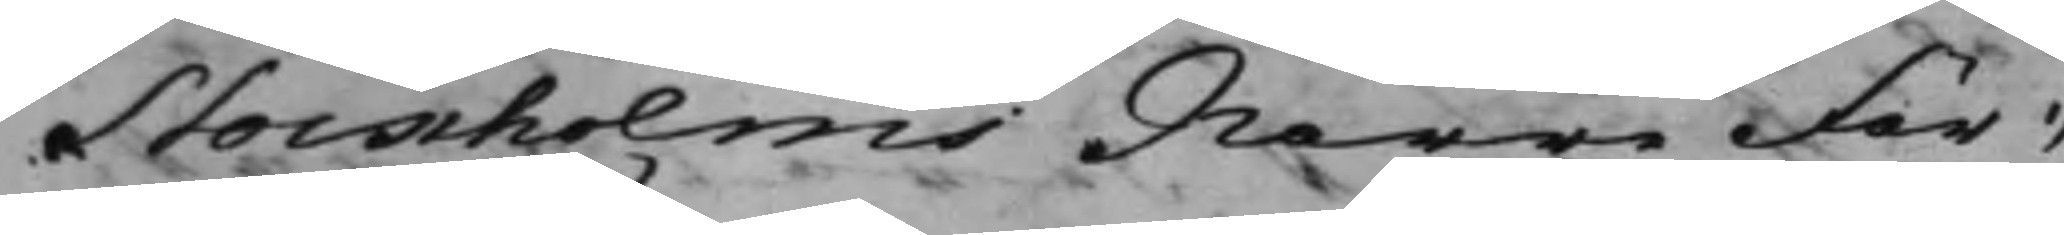Stockholms Norre För¬
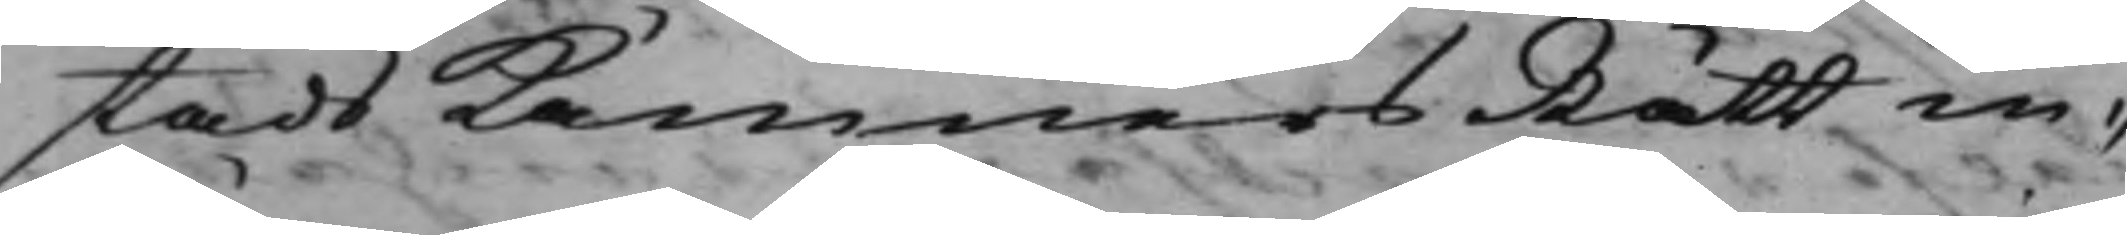stads KämnersRätt in¬
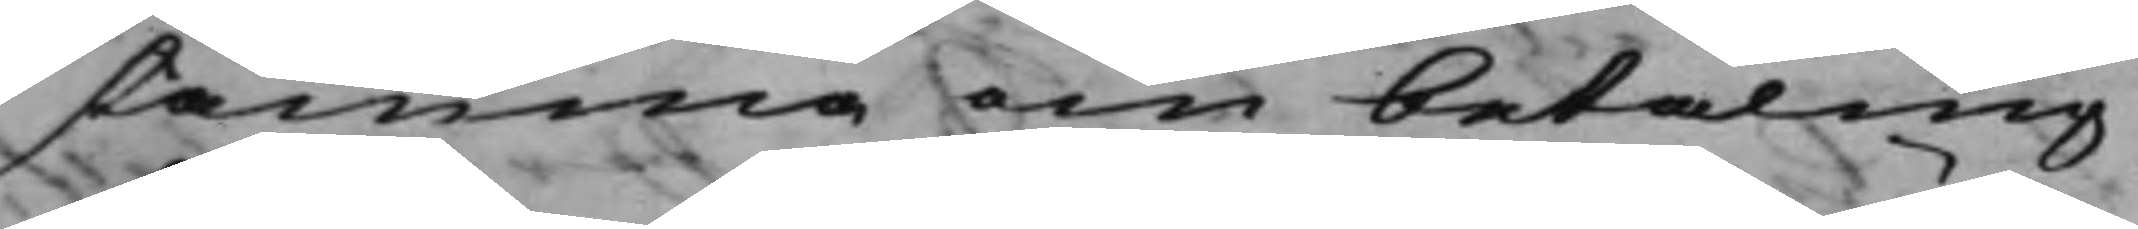stämma om betalning
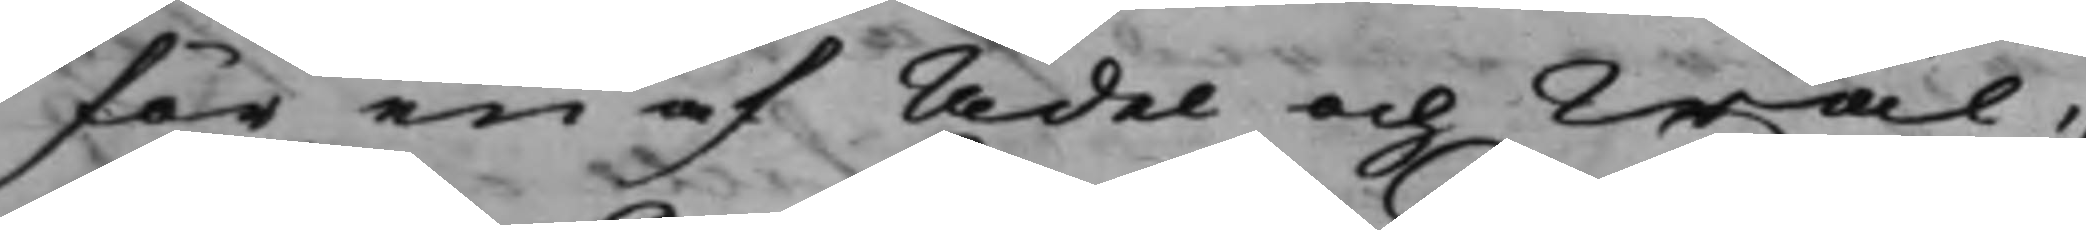för en af Ädel och Wäl¬
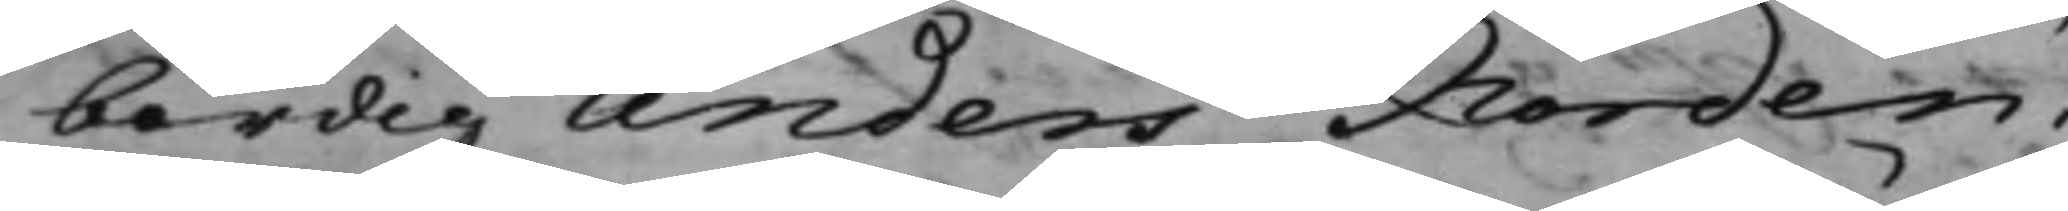bördig Anders Norden¬
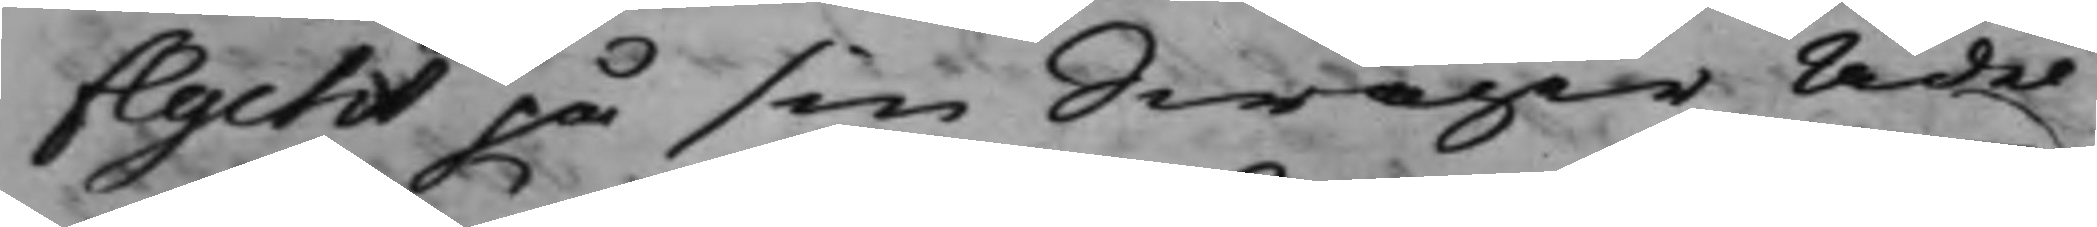flycht på sin swåger Ädel
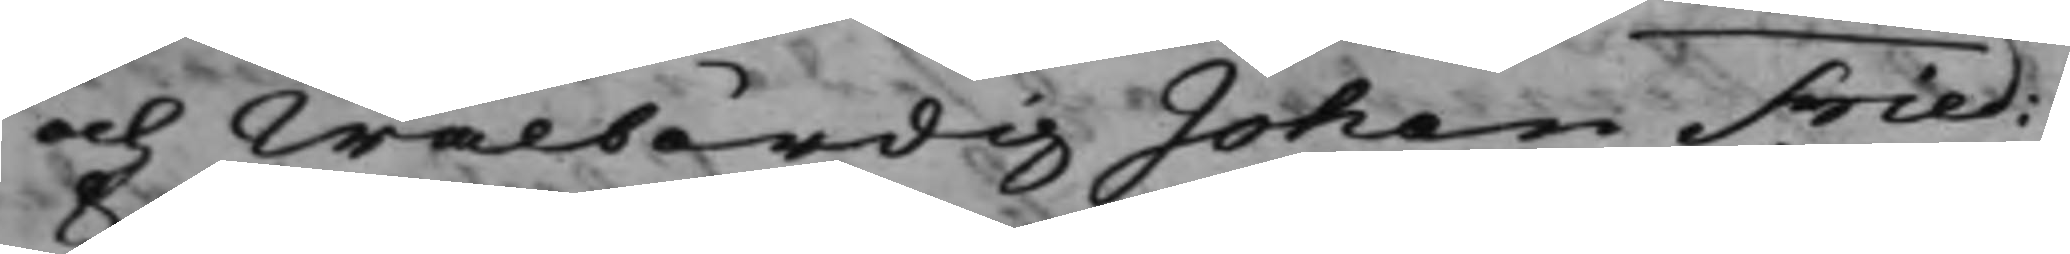och Wälbördig Johan Fried:
